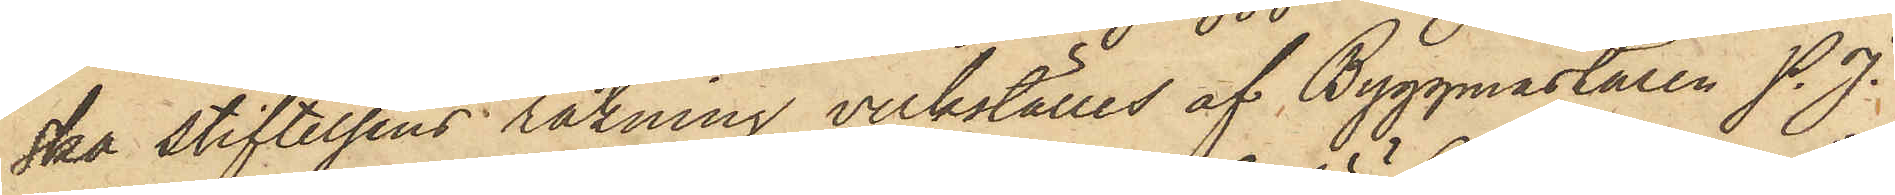ska stiftelsens räkning verkställes af Byggmästaren P. J.
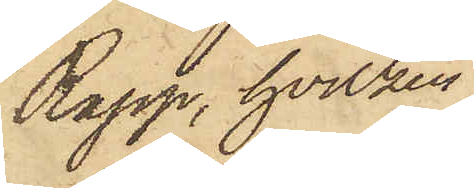Rapp, hvilken
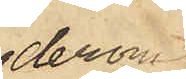derom
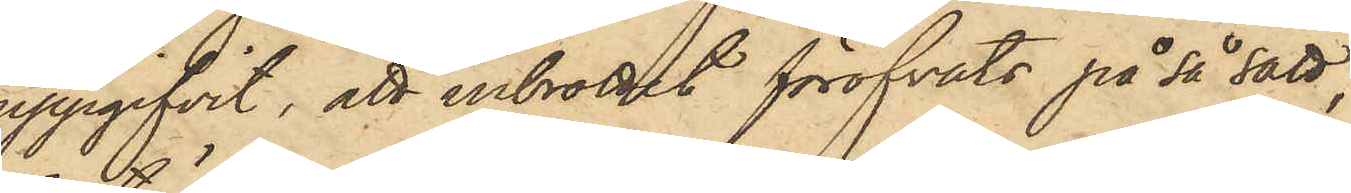uppgifvit, att inbrottet föröfvats på så sätt,
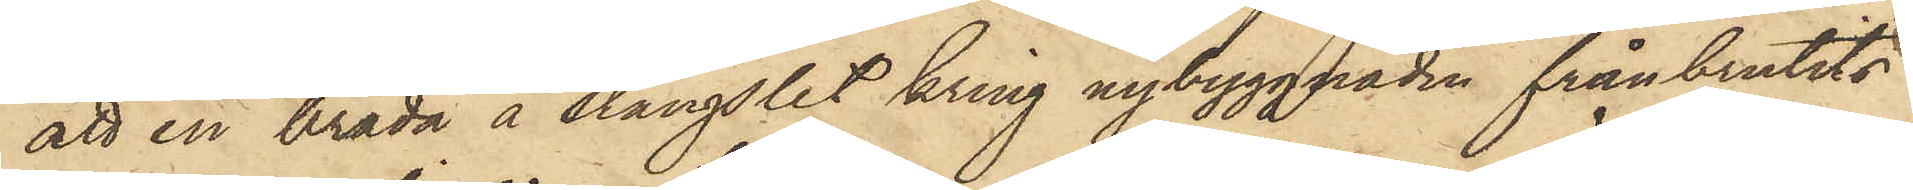att en bräda å stängslet kring nybyggnaden frånbrutits
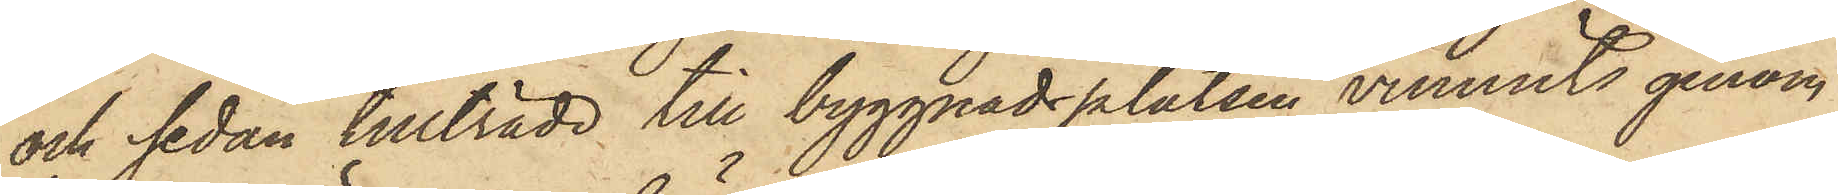och sedan tillträde till byggnadsplatsen vunnits genom
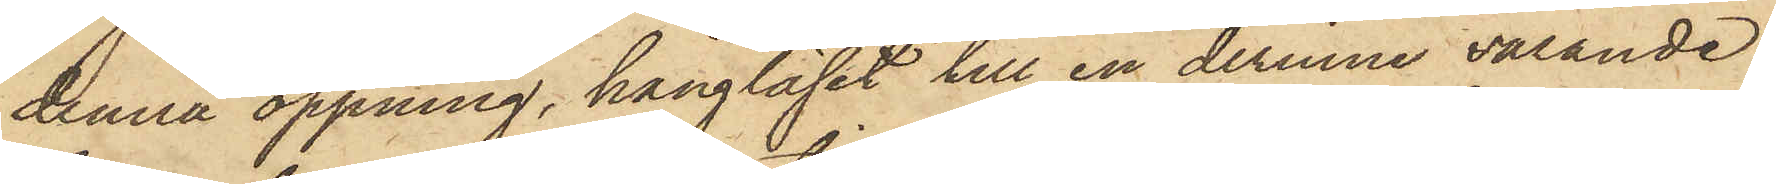denna öppning, hänglåset till en derinne varande
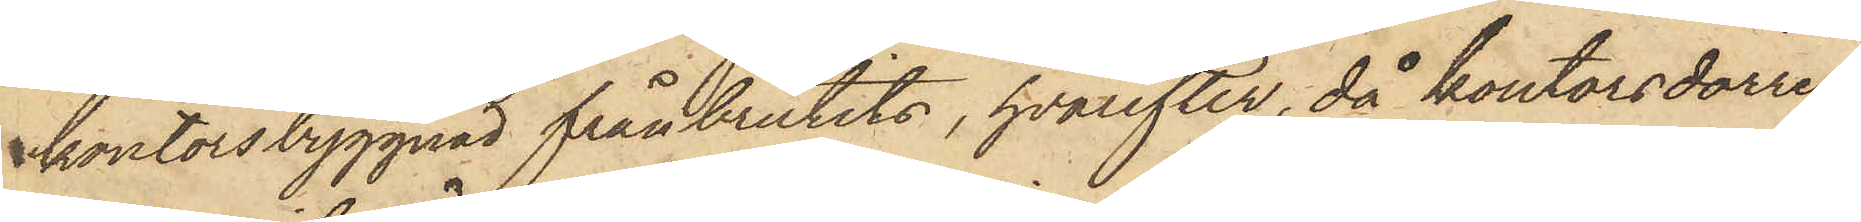kontorsbyggnad frånbrutits, hvarefter, då kontorsdörren
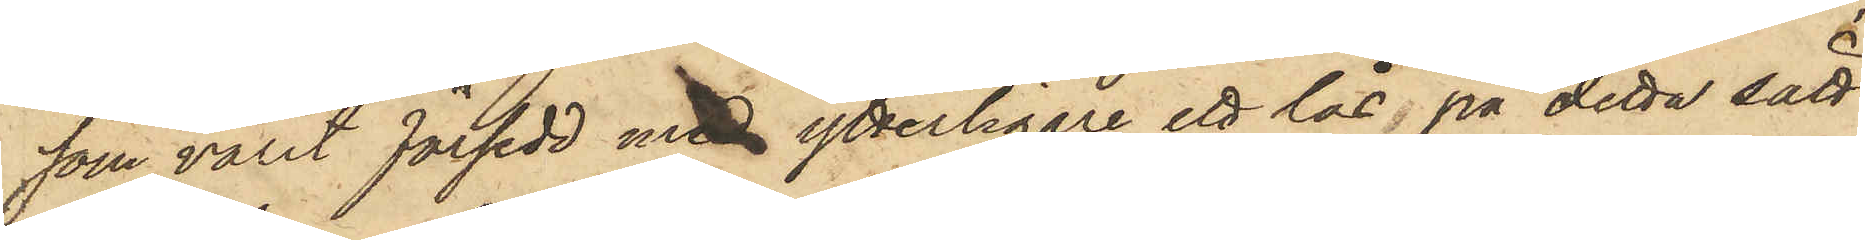som varit försedd med ytterligare ett lås, på detta sätt
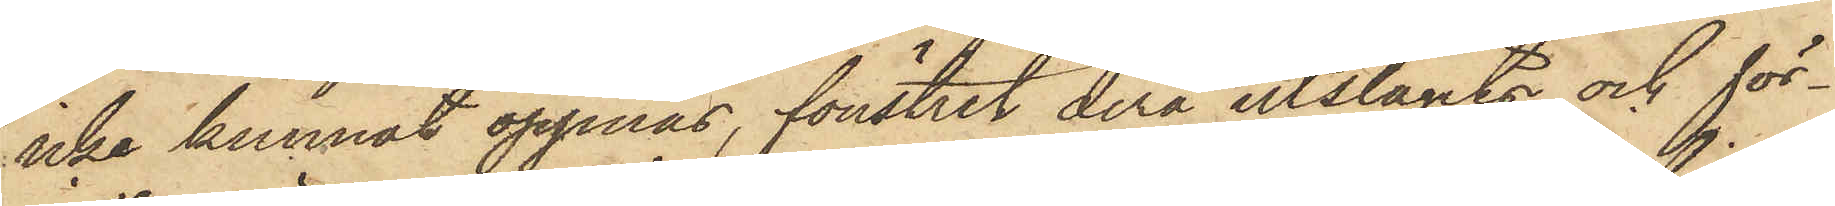icke kunnat öppnas, fönstret derå utslagits och för¬
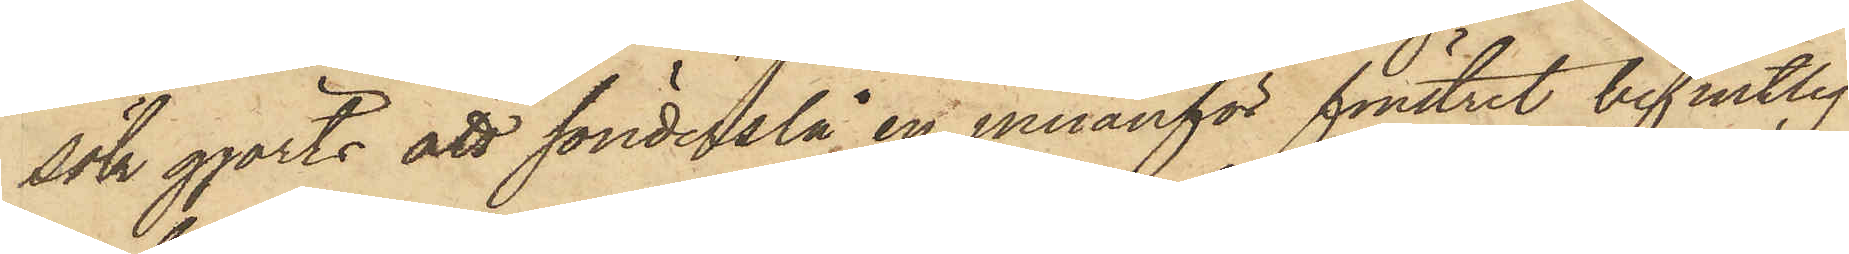sök gjorts att sönderslå en innanför fönstret befintlig
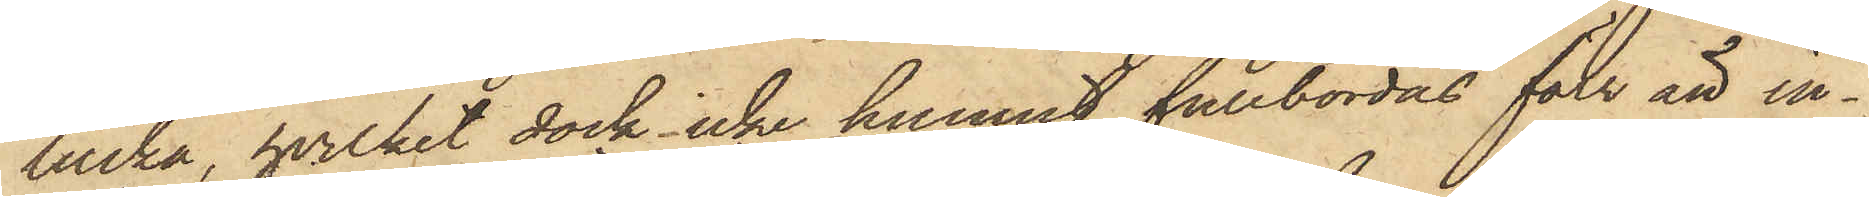lucka, hvilket dock icke hunnit fullbordas förr än in¬
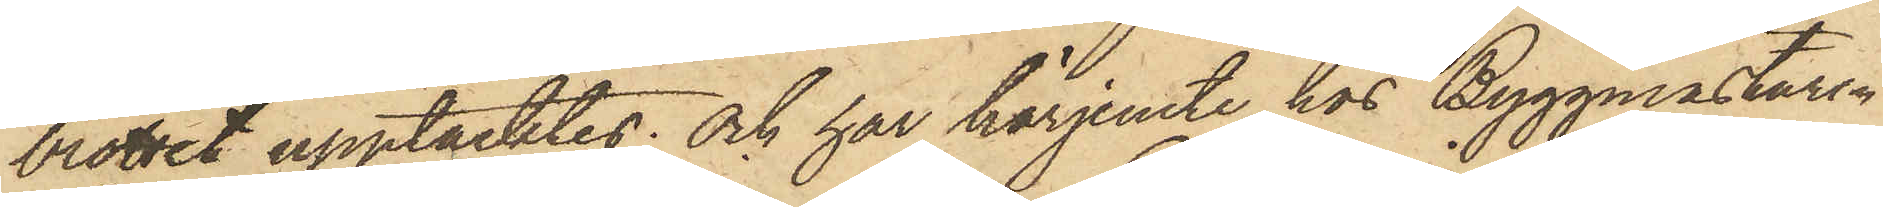brottet upptäcktes; och har härjemte hos Byggmästaren
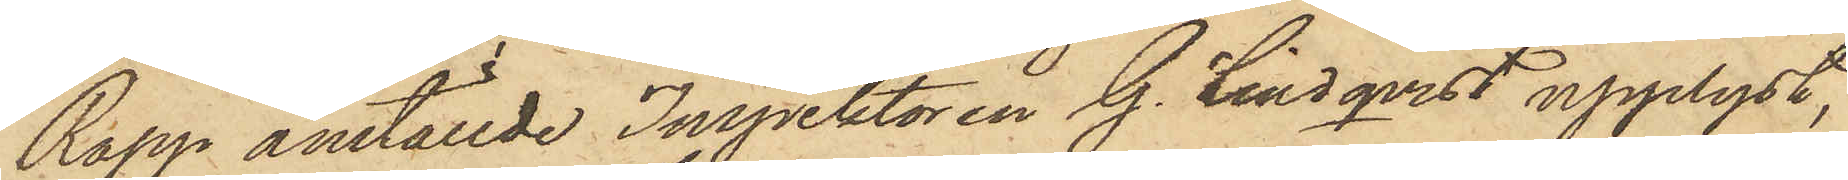Rapp anställde Inpektoren G. Lindqvist upplyst,
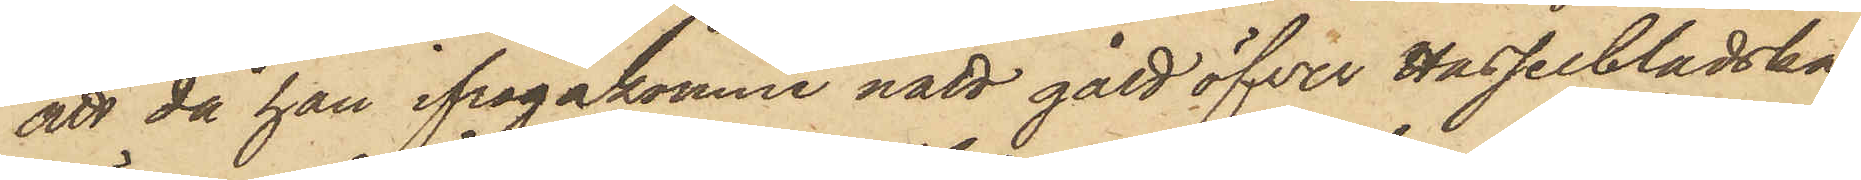att då han ifrågakomne natt gått öfver Hasselbladska
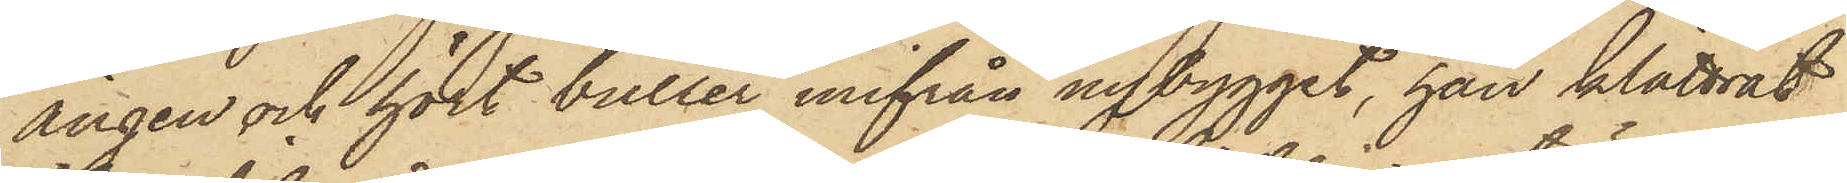ängen och hört buller inifrån nybygget, han klättrat
